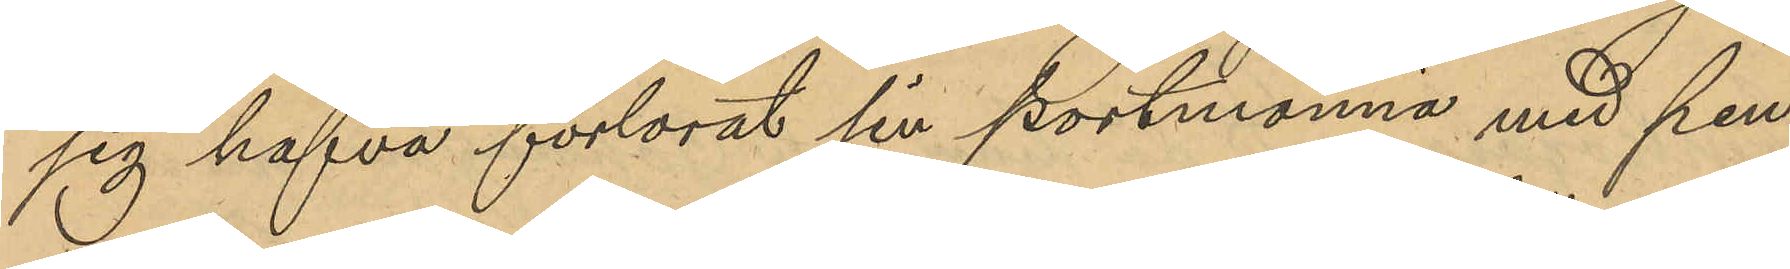sig hafva förlorat sin portmonnä med pen¬
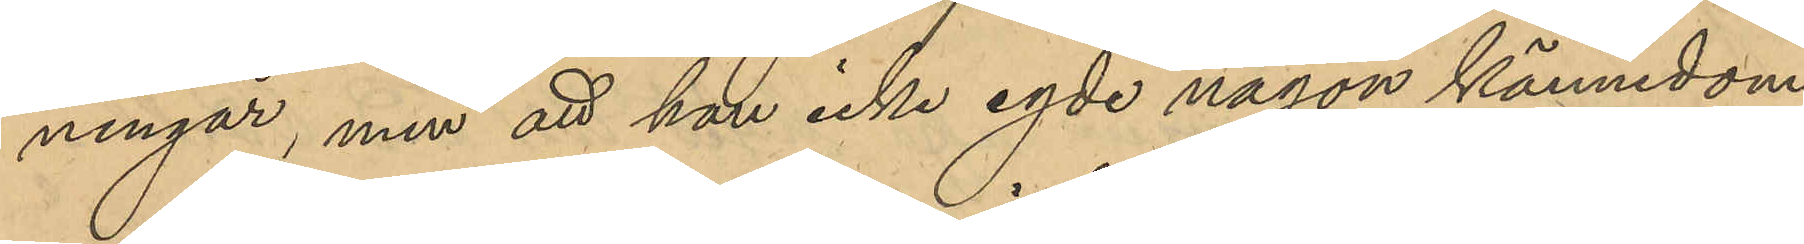ningar, men att han icke egde någon kännedom
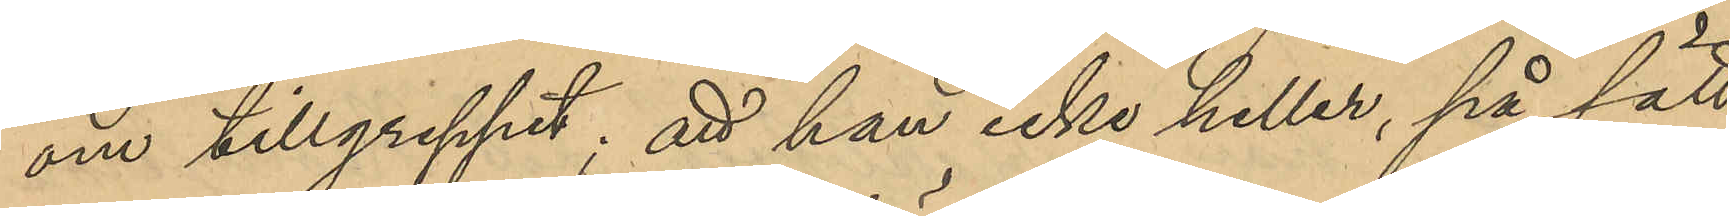om tillgreppet; att han icke heller, på sätt
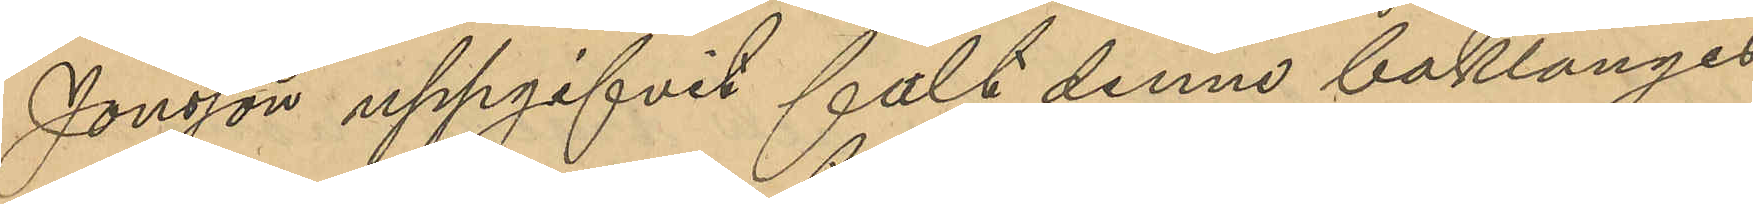Jonsson uppgifvit fält denne baklänges
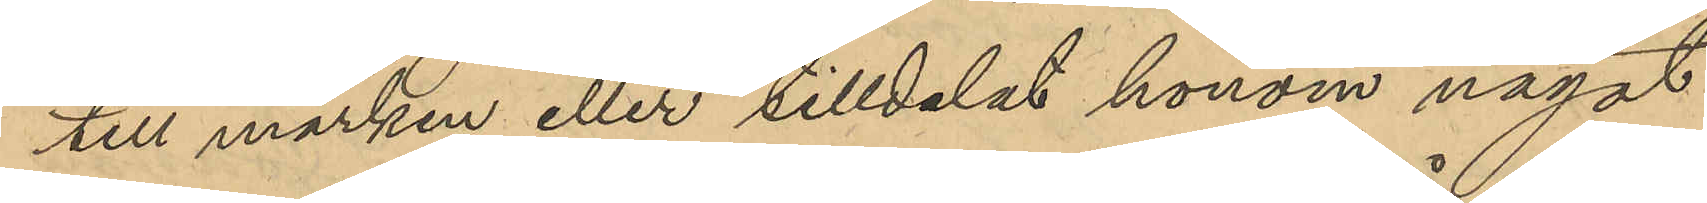till marken eller tilldelat honom något
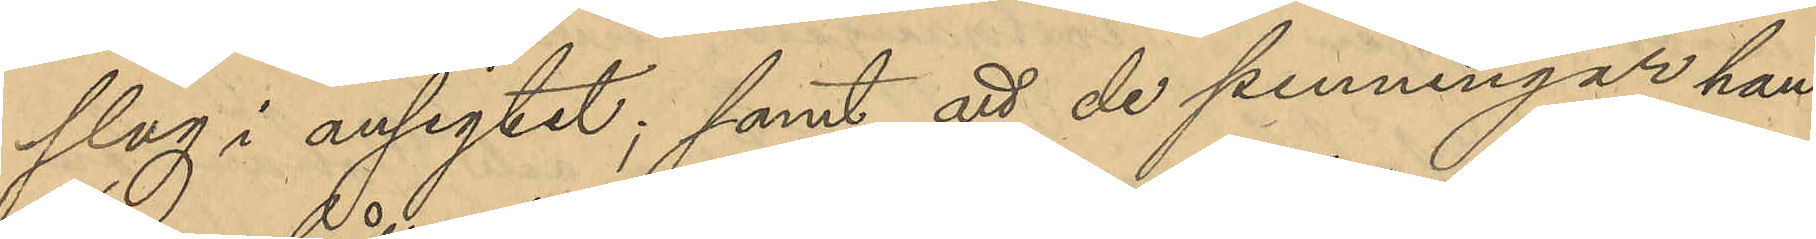slag i ansigtet; samt att de penningar han
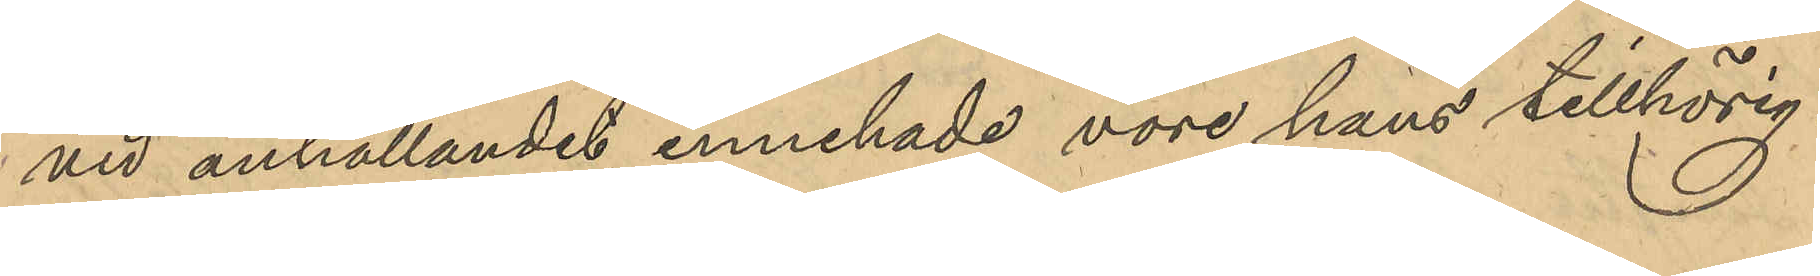vid anhållandet innehade vore hans tillhörig¬
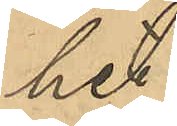het.
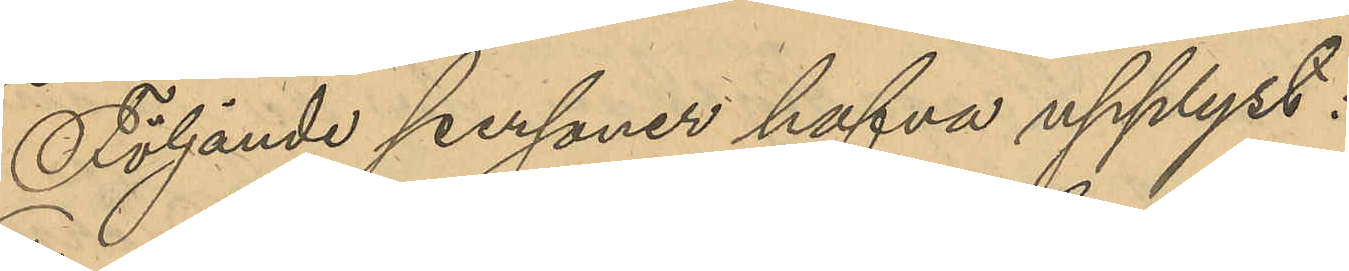Följande personer hafva upplyst:
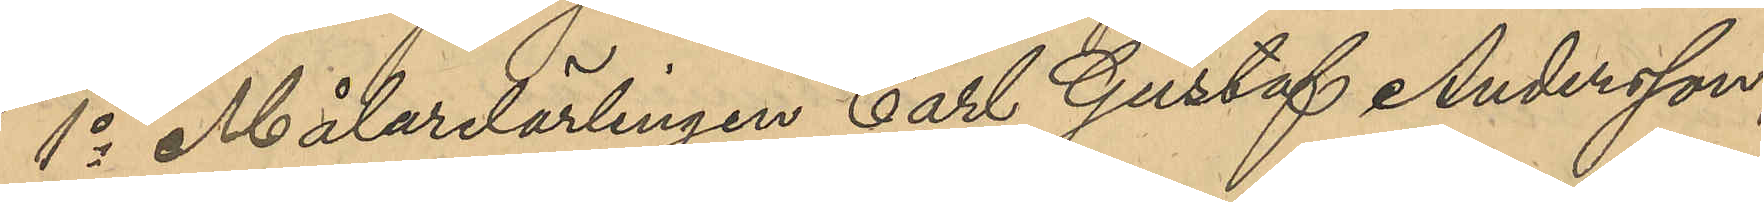1o Målarelärlingen Carl Gustaf Andersson,
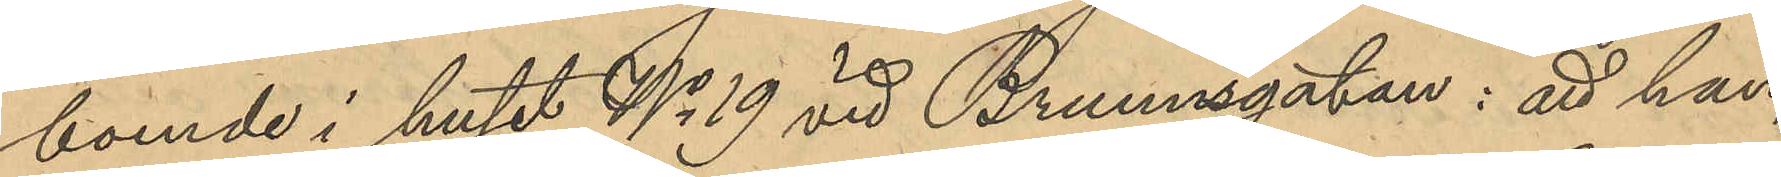boende i huset No 19 vid Brunnsgatan: att han,
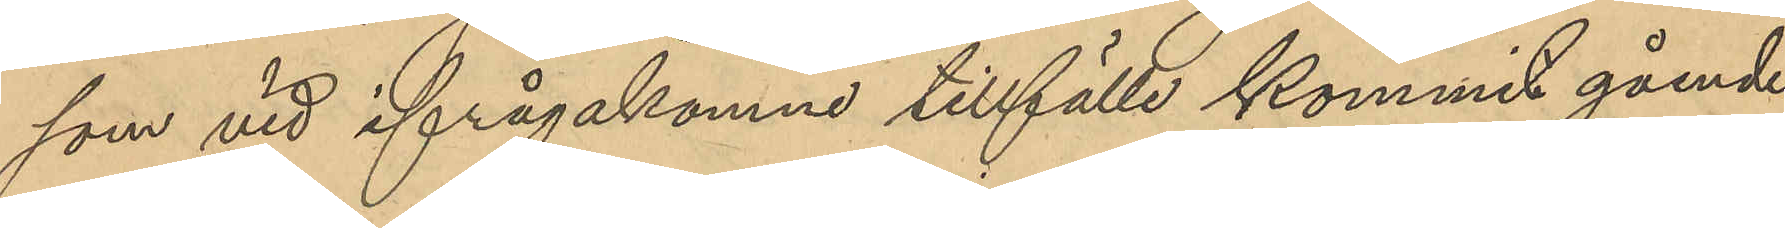som vid ifrågakomne tillfälle kommit gående
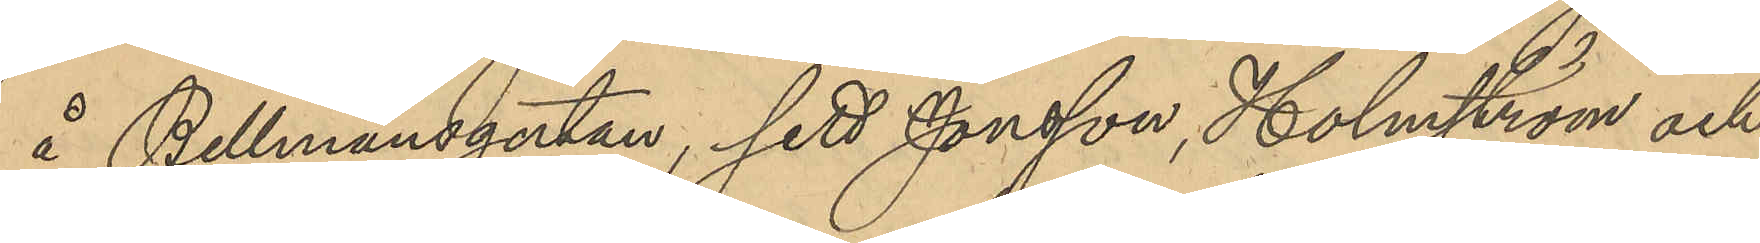å Bellmnsgatan, sett Jonsson, Holmström och
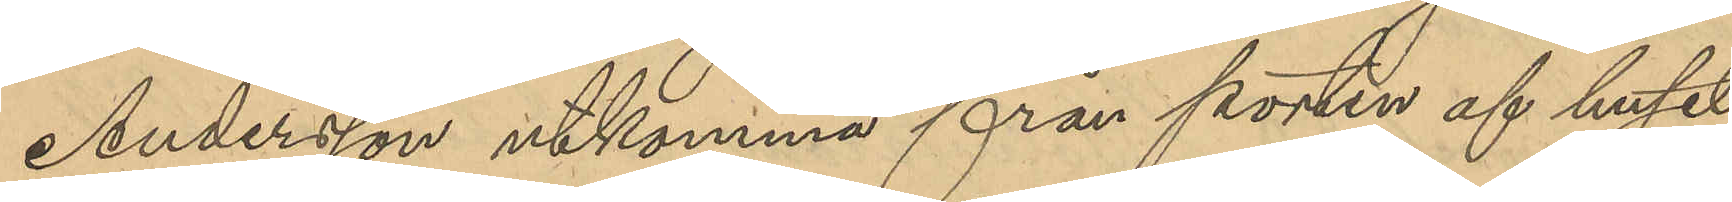Andersson utkomma från porten af huset
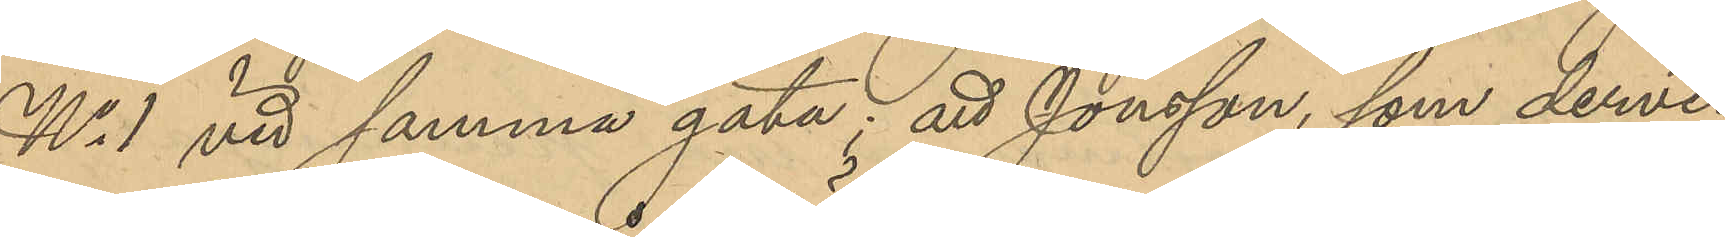No 1 vid samma gata; att Jonsson, som dervid
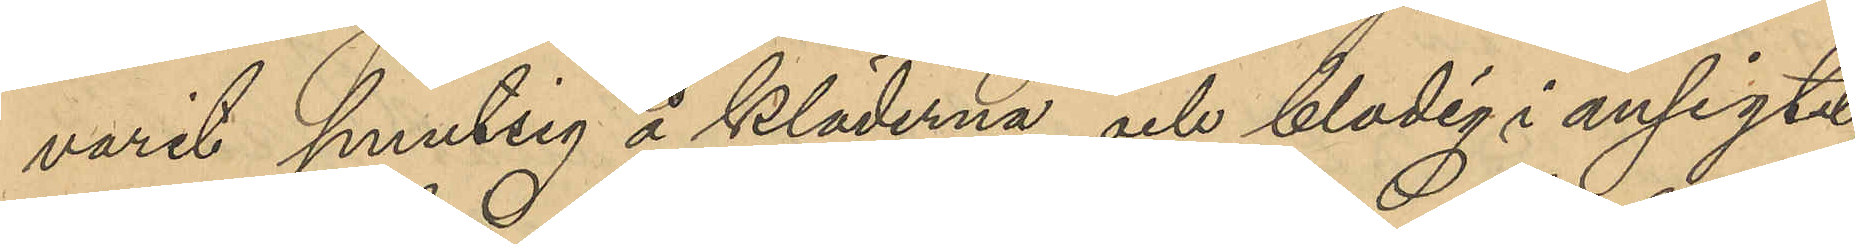varit smutsig å kläderna och blodig i ansigtet,
